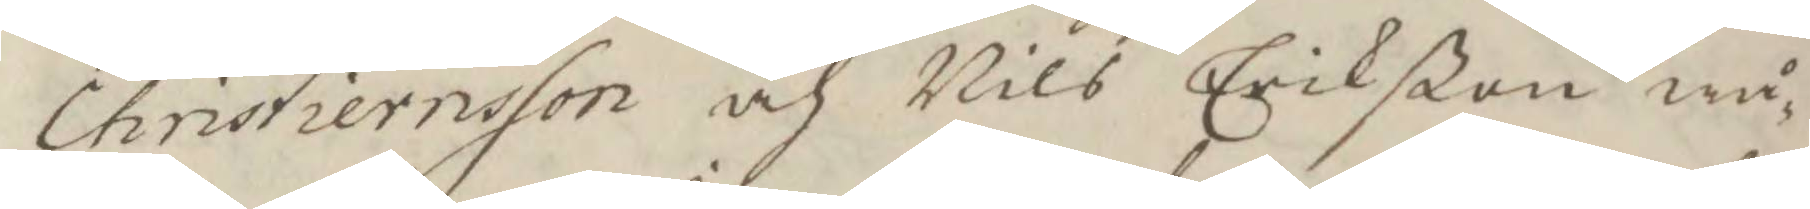Chrisiernsson och Nils Erikßon wå¬
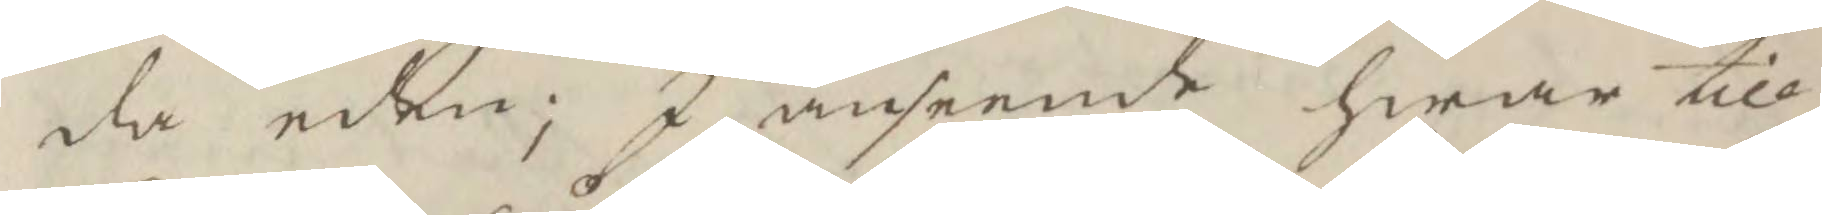da eden: I anseende hwar till
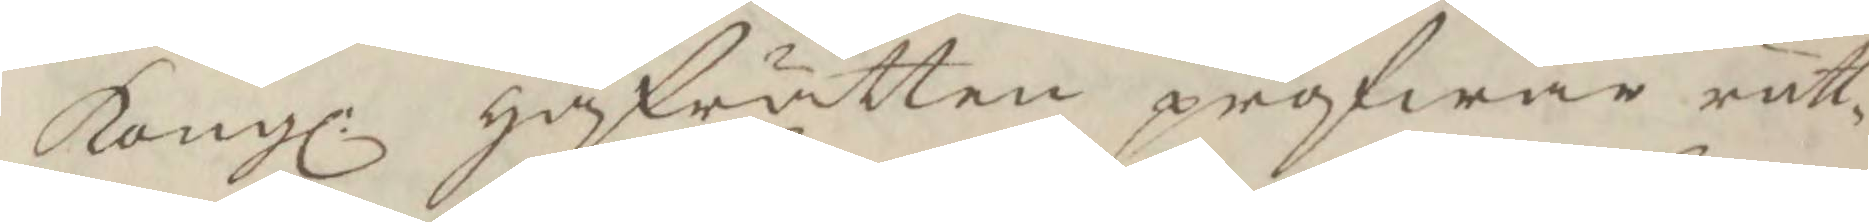Kongl: håfrätten pröfwar rätt¬
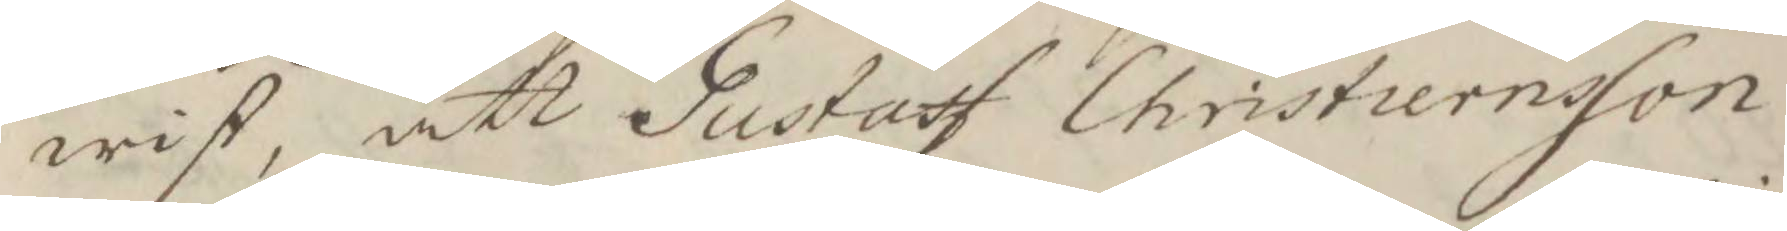wist, att Gustaf Christiernson
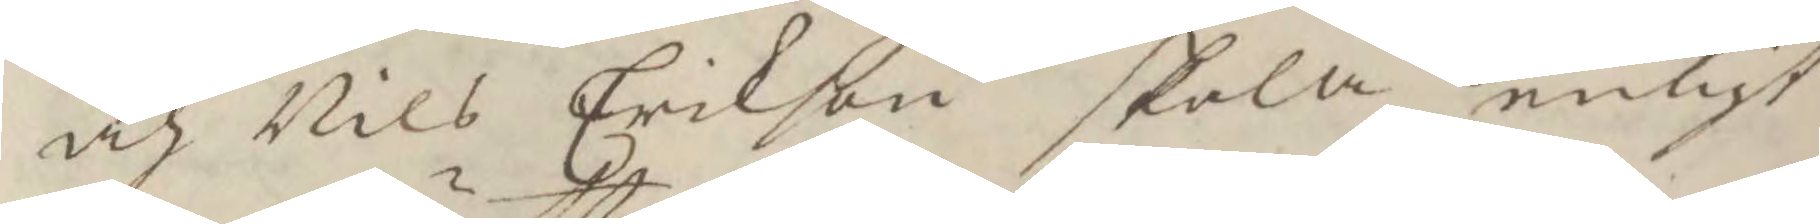och Nils Erikson skola enligt
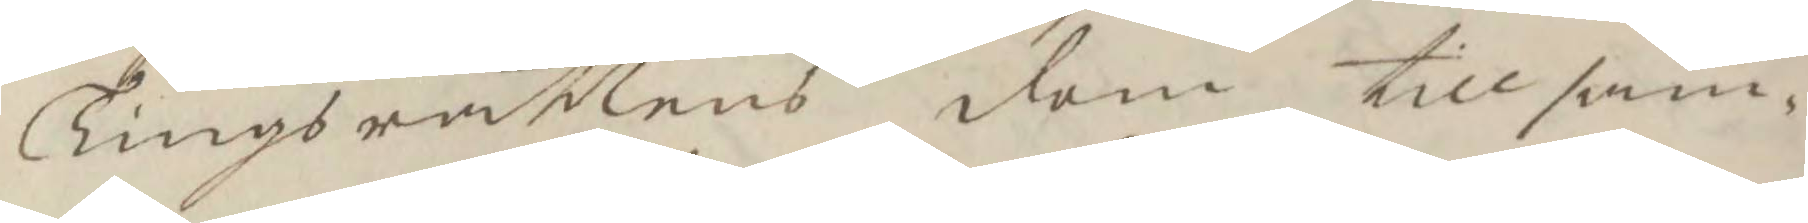Tingsrättens dom till sam¬
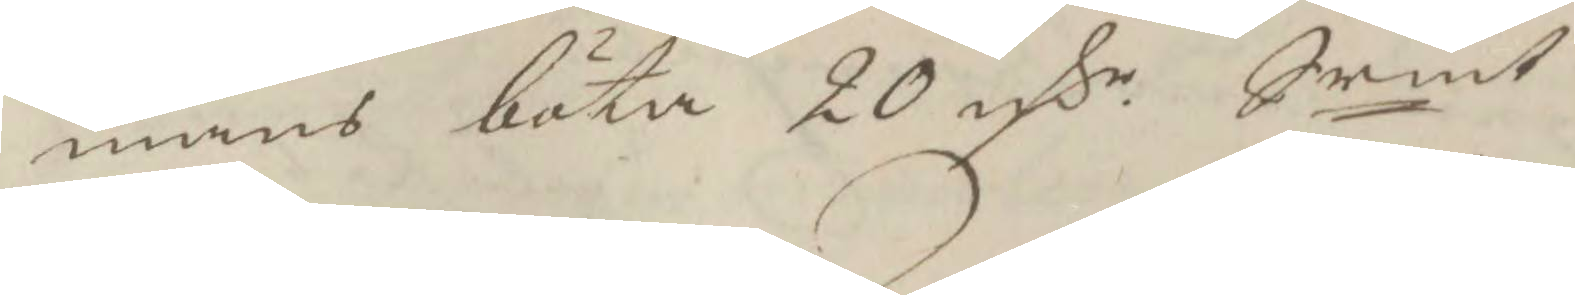mans böta 20 rsr Srmt
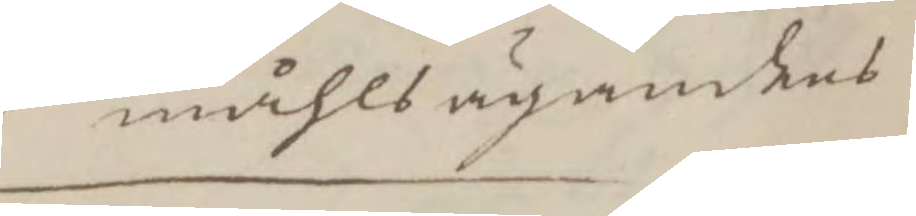måhlsägandes
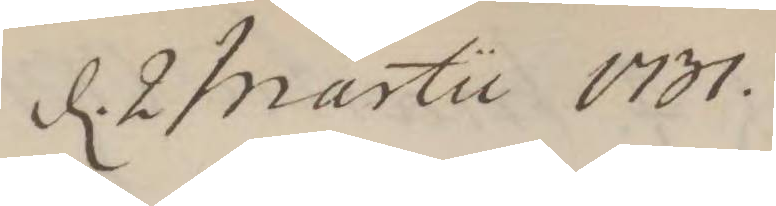d. 2 Martii 1731
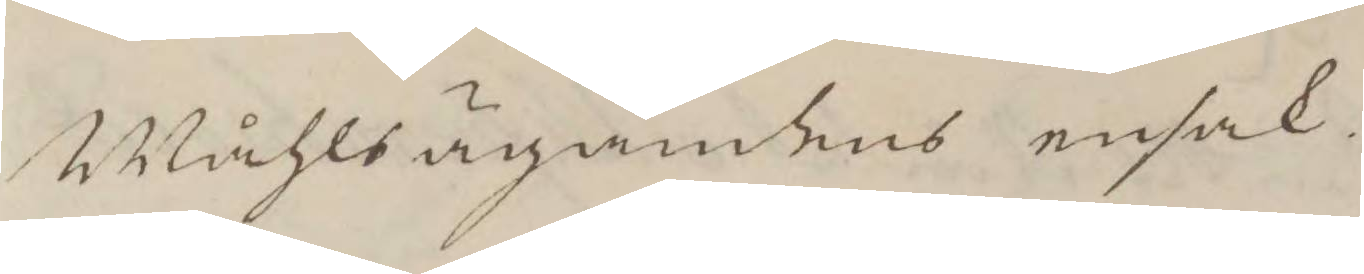Måhlsägandens ensak.
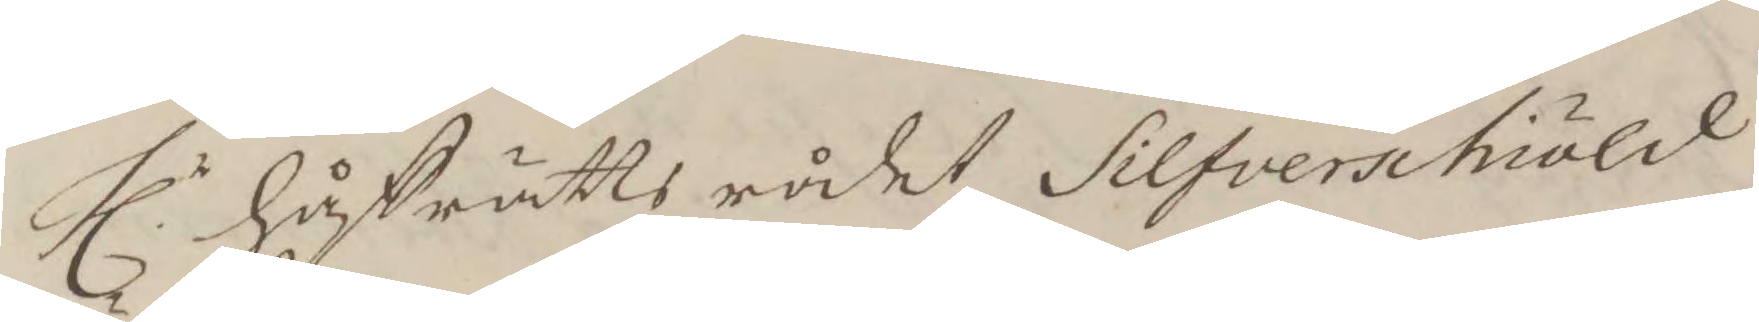Hlr håfrätts rådet Silfverschiöld
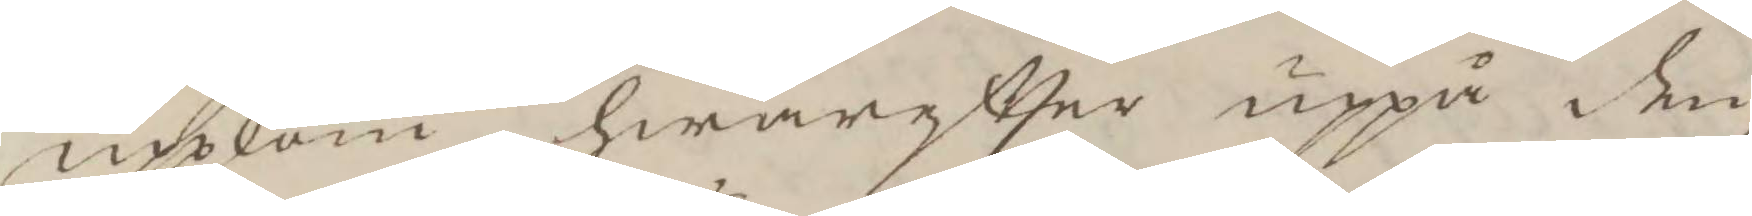upkom hwareftter uppå den
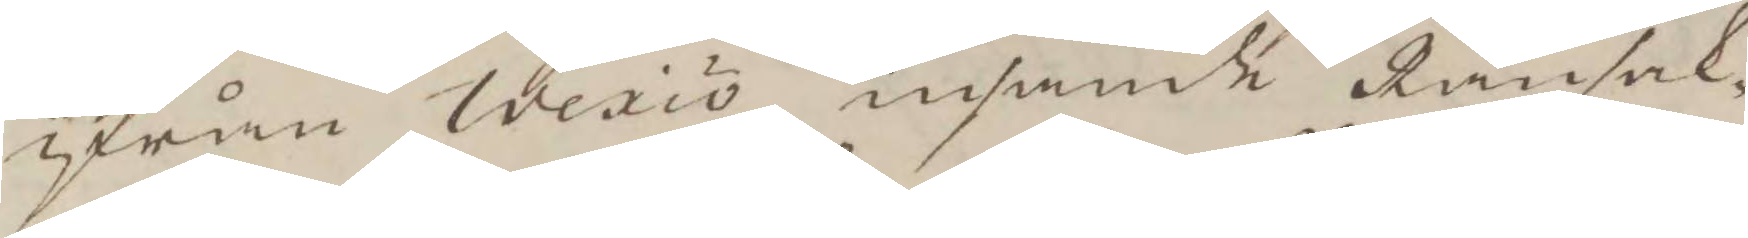ifrån Wexiö insende Ransak¬
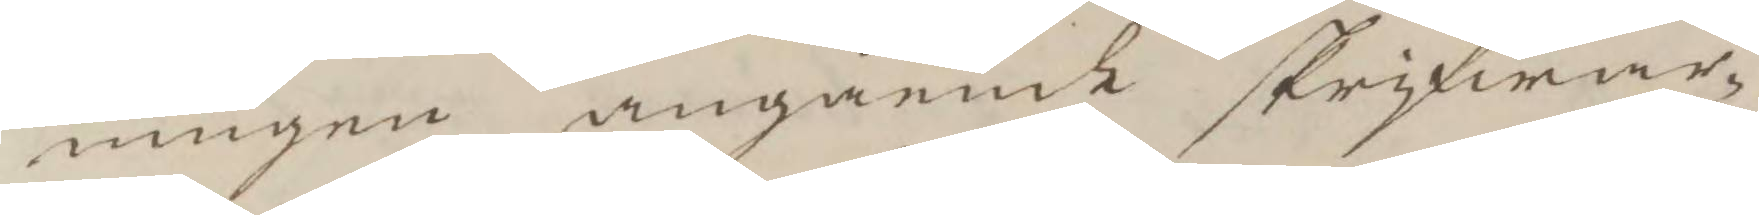ningen angående skrifwar¬
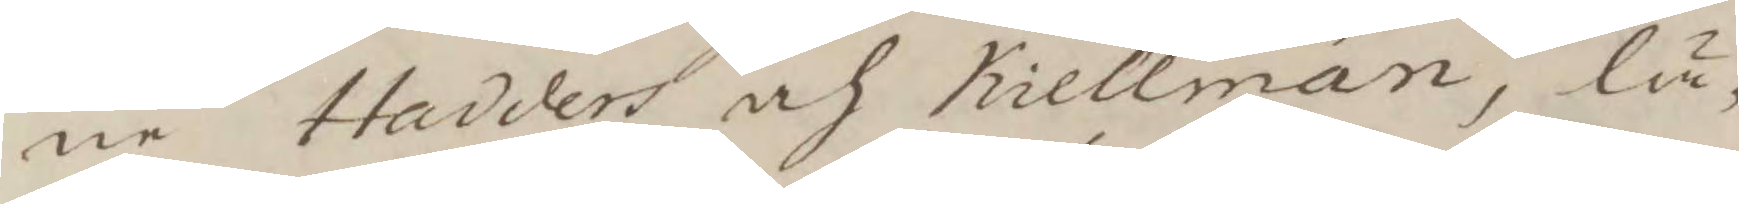ne Hadders och Kiellman, lä¬
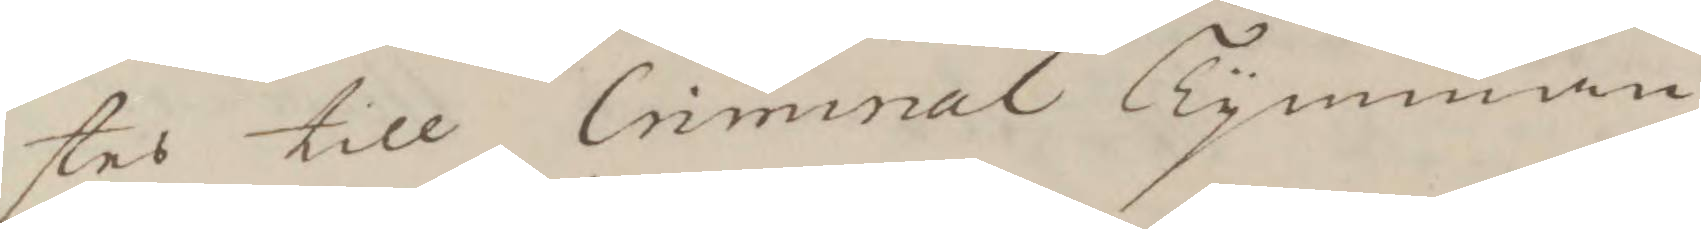sted till Criminal Tymman
